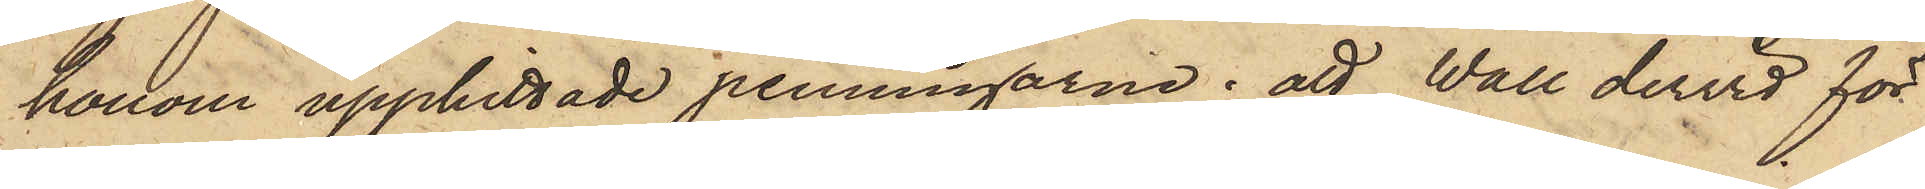honom upphittade penningarne; att Wall dervid för
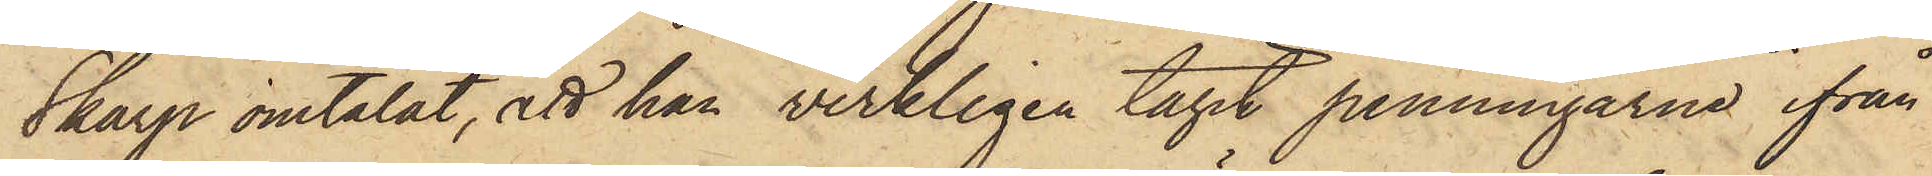Skarp omtalat, att han verkligen tagit penningarne ifrån
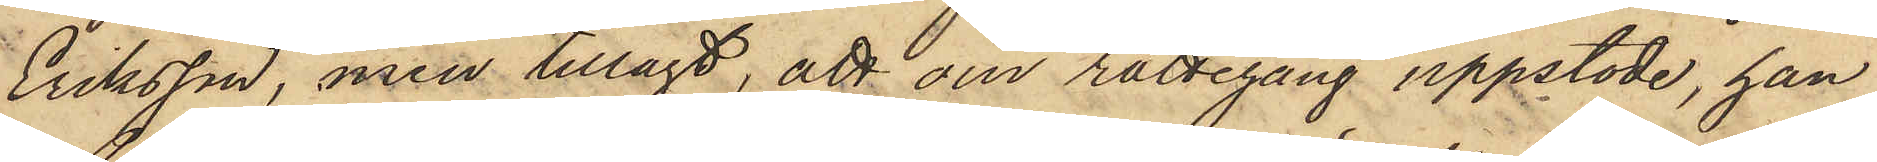Eriksson, men tillagt, att om rättegång uppstode, han
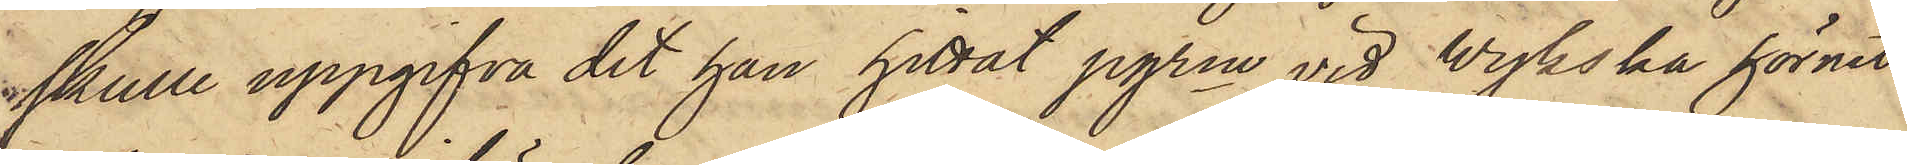skulle uppgifva det han hittat pgrne vid Wijkska hörnet
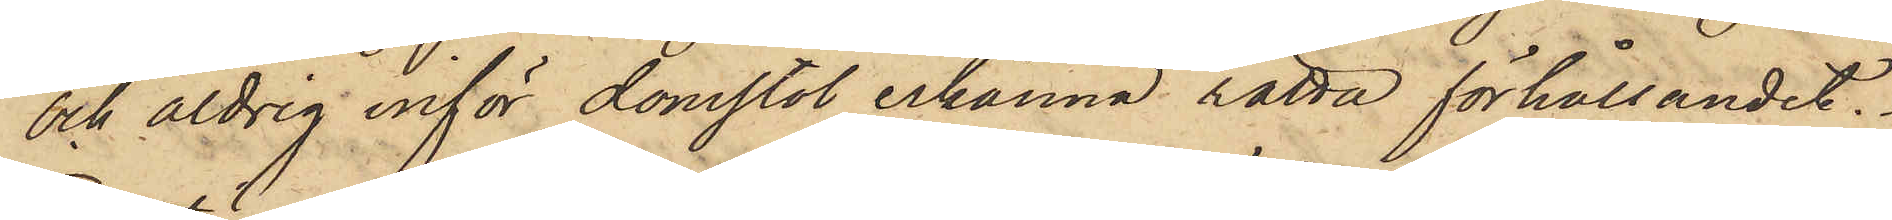och aldrig inför domstol erkänna rätta förhållandet.
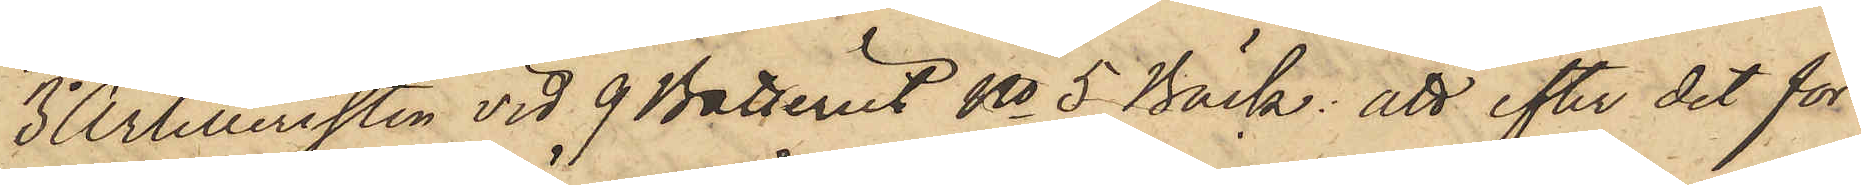3o Artilleristen vid 9 Batteriet No 5 Bäck: att efter det för¬
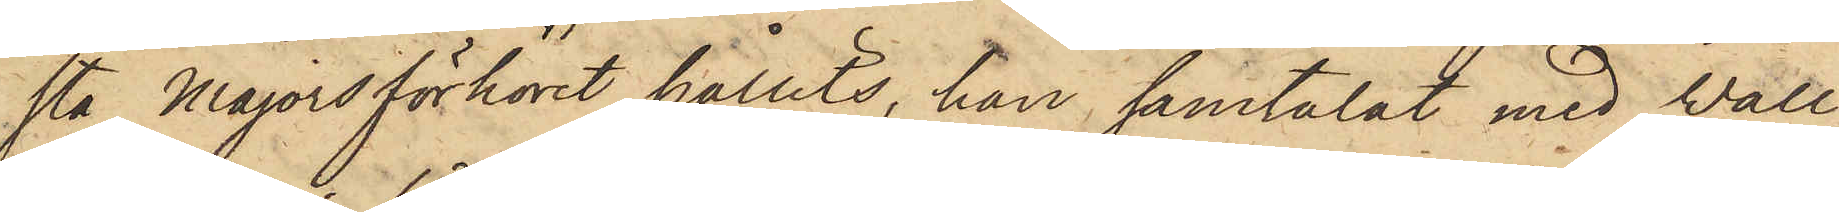sta Majorsförhöret hållits, han samtalat med Vall
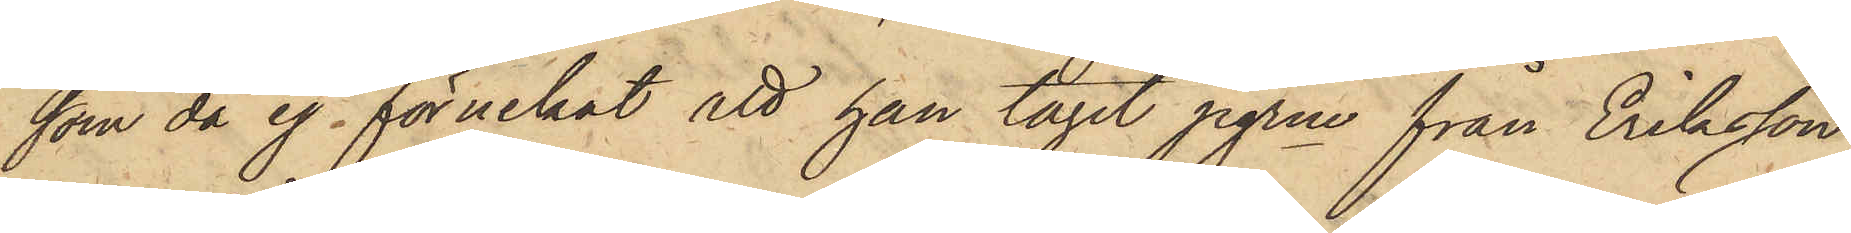som då ej förnekat att han tagit pgrne från Eriksson,
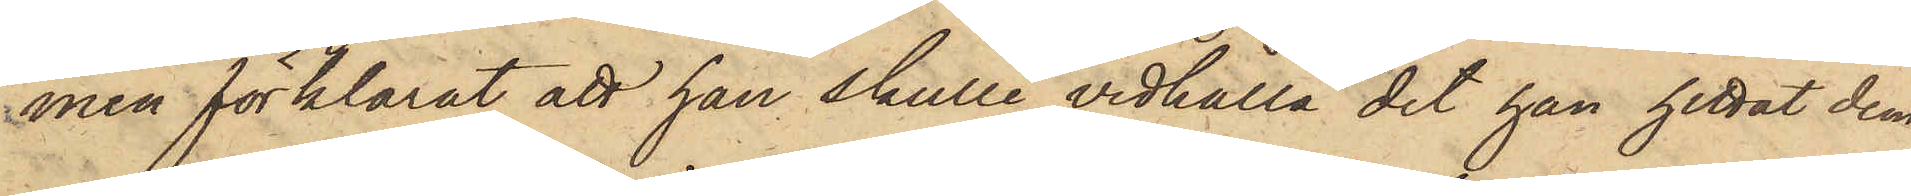men förklarat att han skulle vidhålla det han hittat dem,
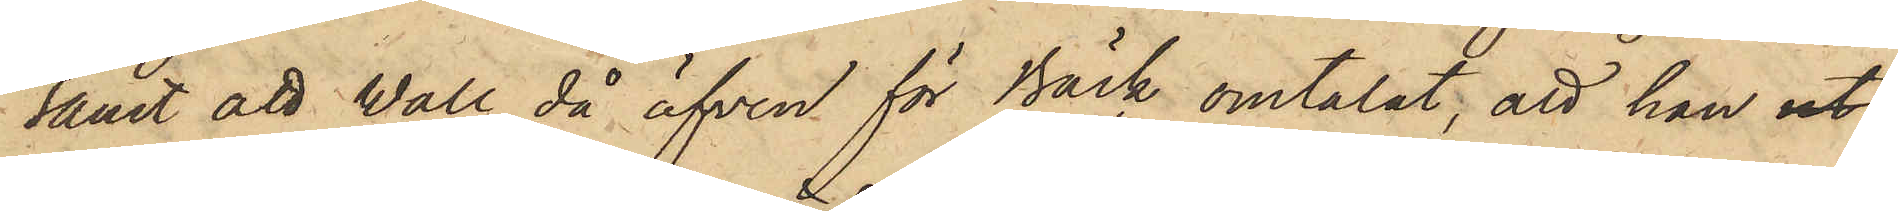samt att Wall då äfven för Bäck omtalat, att han ut¬
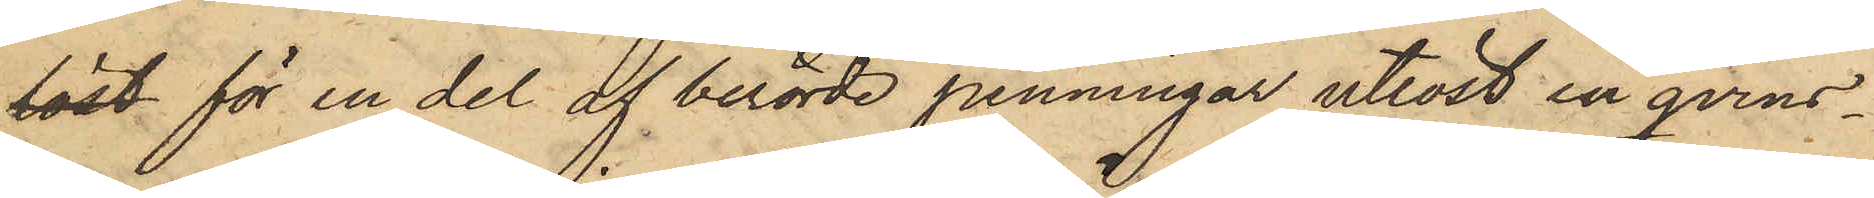löst för en del af berörde penningar utlöst en qvins¬
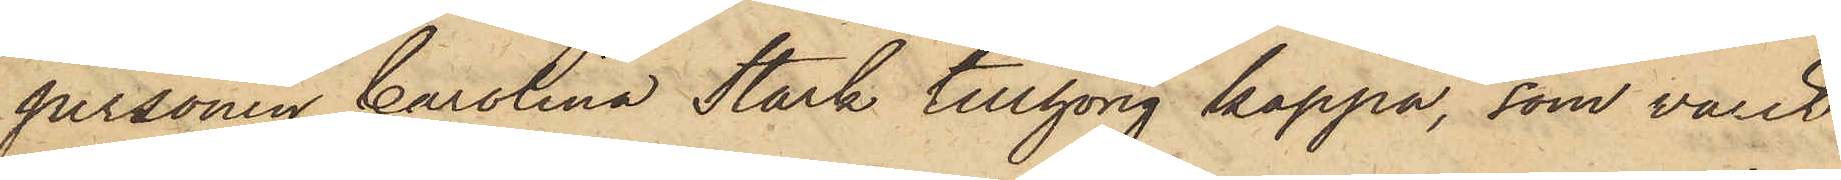personen Carolina Stark tillhörig kappa, som varit
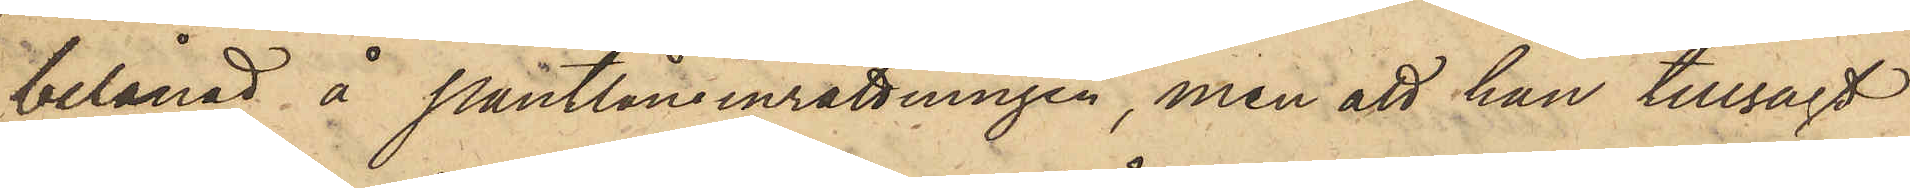belånad å Pantlåneinrättningen, men att han tillsagt
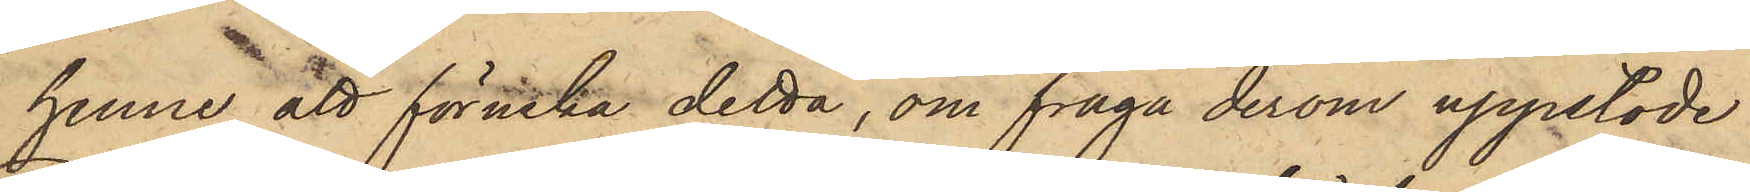henne att förneka detta, om fråga derom uppstode.
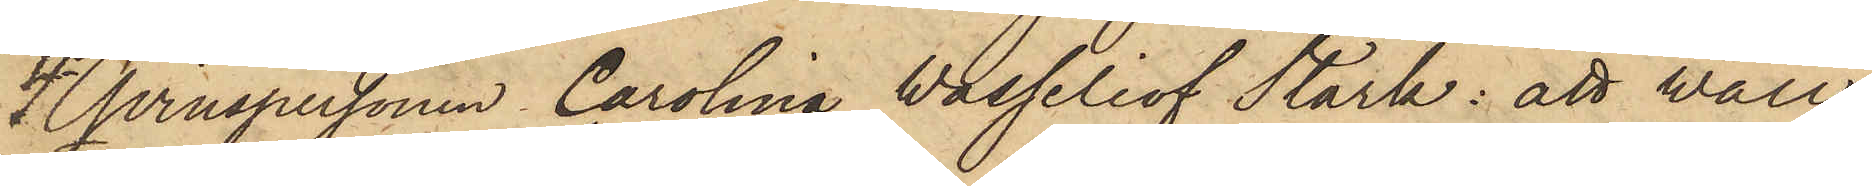4o Qvinspersonen Carolina Wasseliof Stark: att Wall
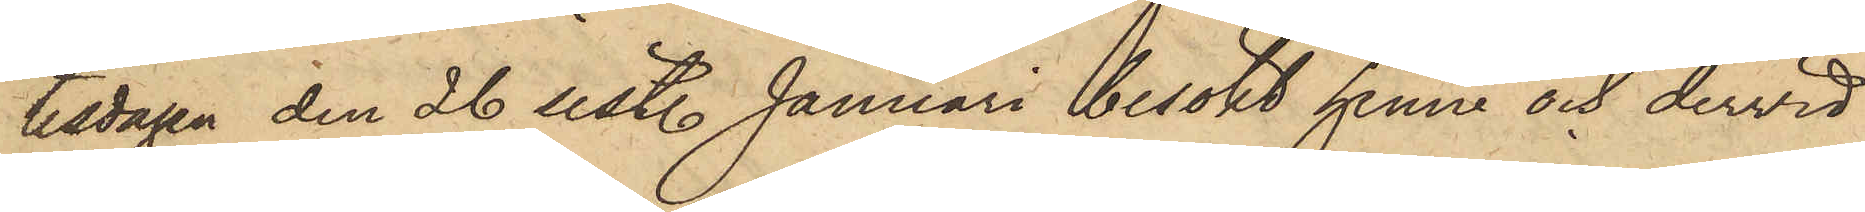tisdagen den 26 sistl. Januari besökt henne och dervid
